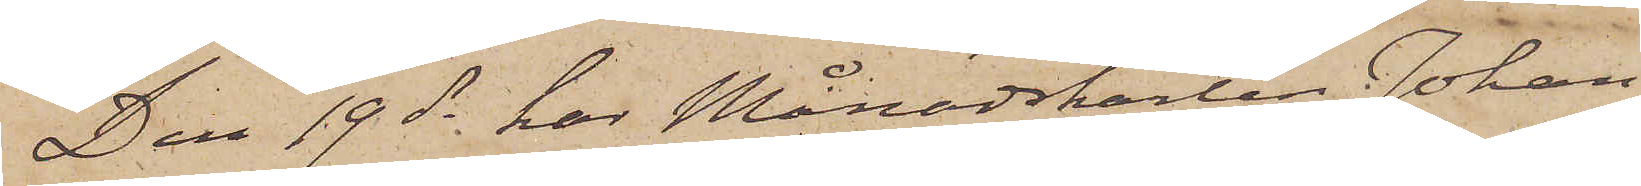Den 19 ds har Månadskarlen Johan
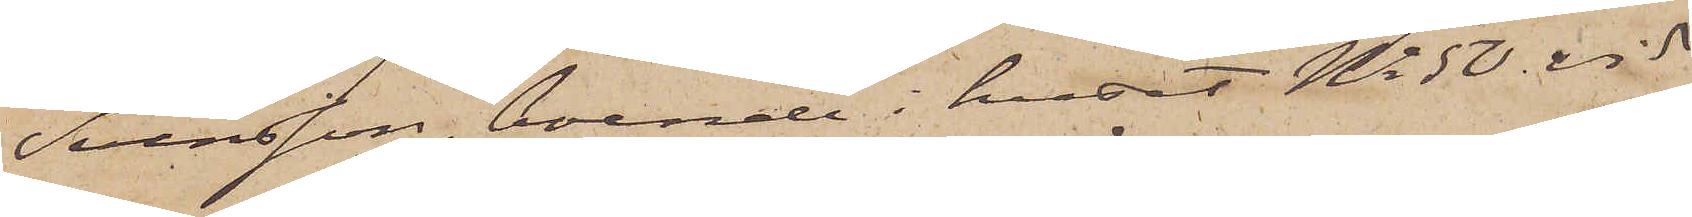Svensson, boende i huset No 50 vid
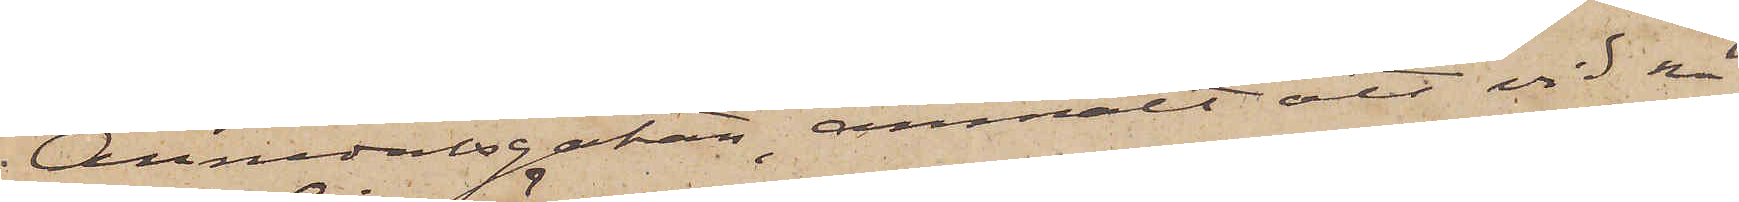Annedalsgatan, anmält att vid nå¬
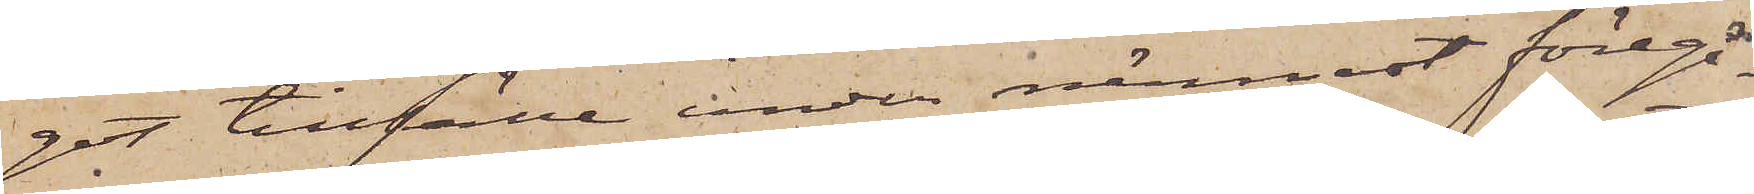got tillfälle under närmast föregå¬
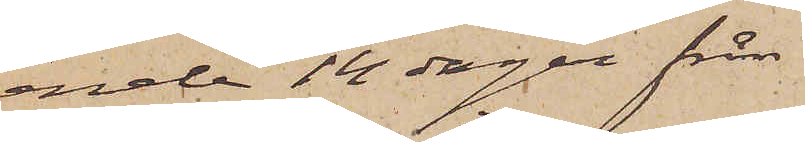ende 14 dagar från
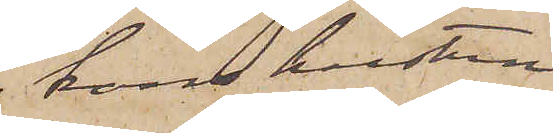hans hustrun
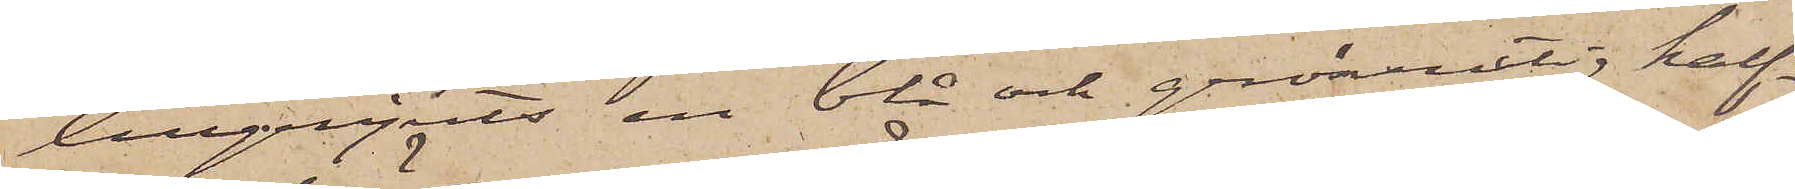tillgripits en blå och grönrutig half¬
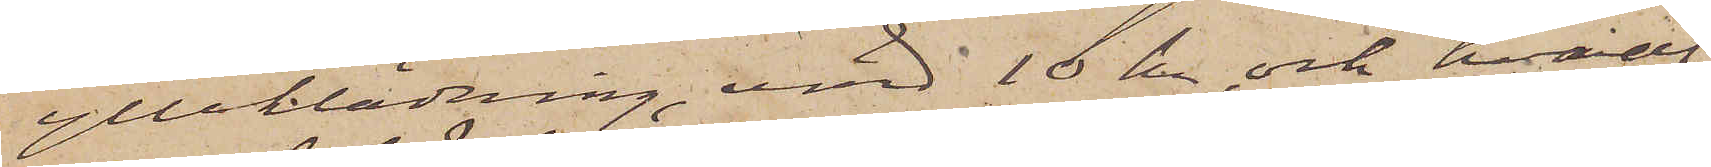ylleklädning, värd 10 kr och hvaraf
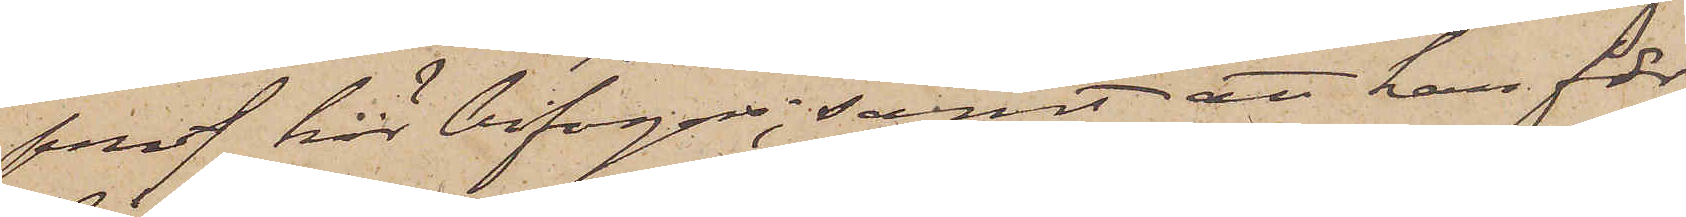prof här bifogas; samt att han för
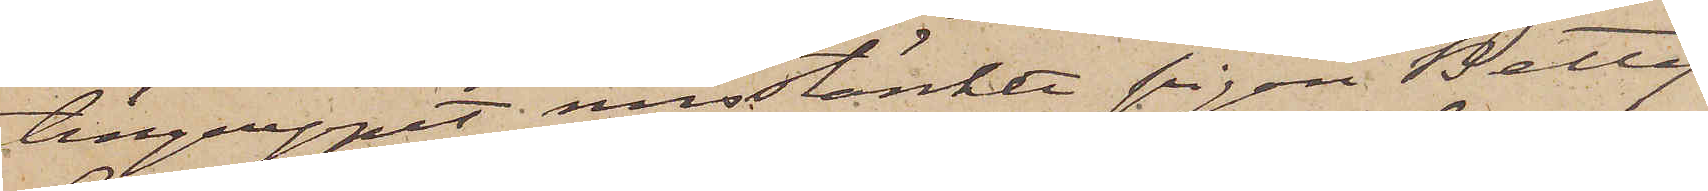tillgreppet misstänkte pigan Betty
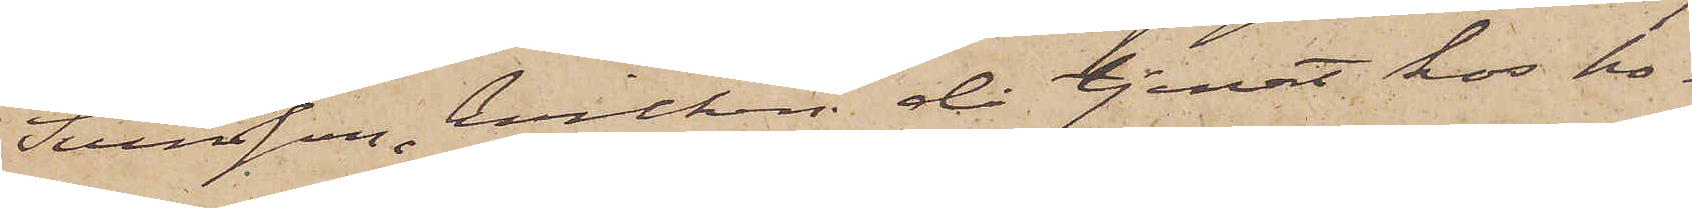Svensson, hvilken då tjenat hos ho¬
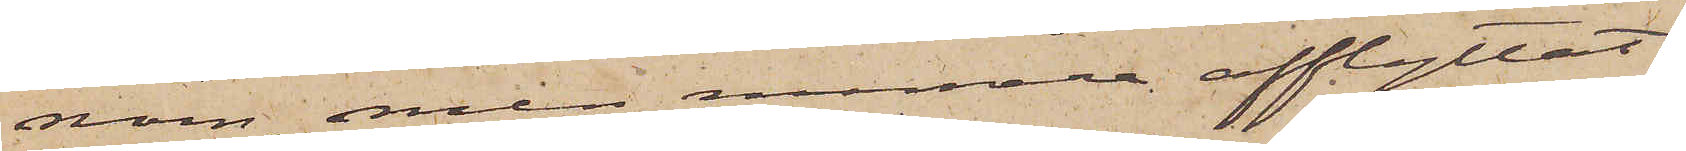nom, men numera afflyttat
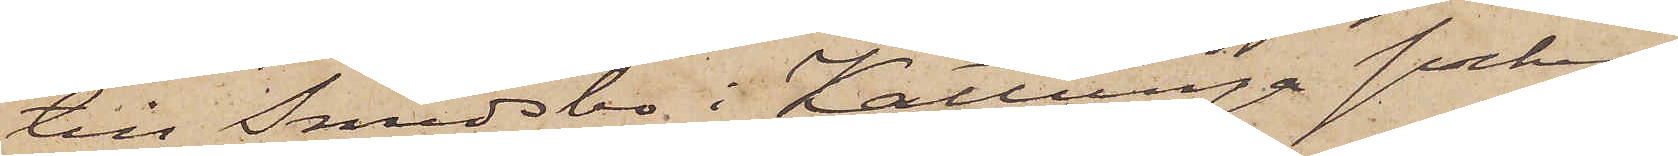till Smedsbo i Kattunga socken.
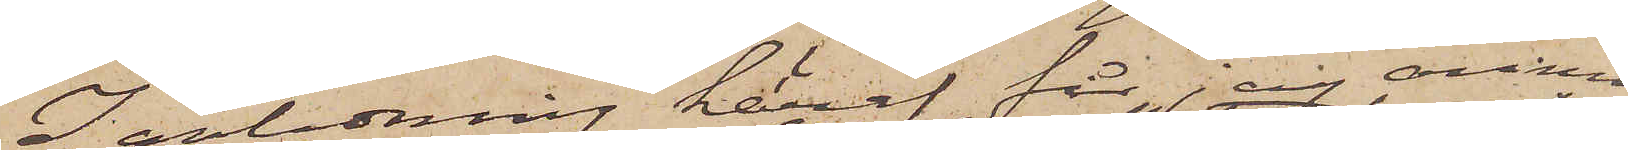I anledning häraf får jag anmo¬
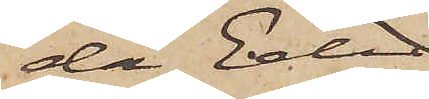da Eder
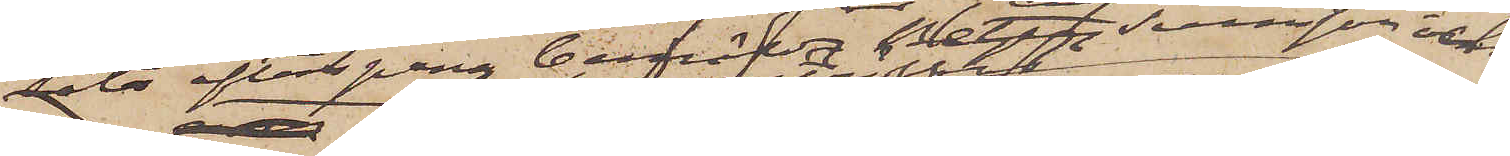låta efterspana berörda Betty Svensson och
